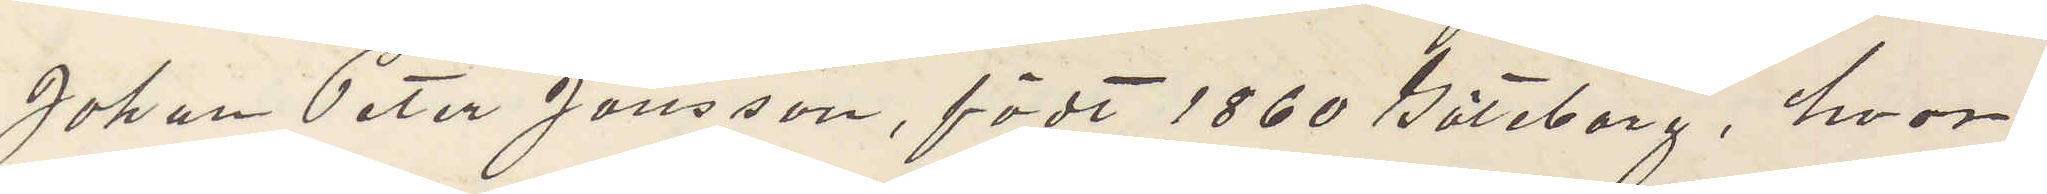Johan Peter Jonsson, födt 1860 Göteborg, hvor
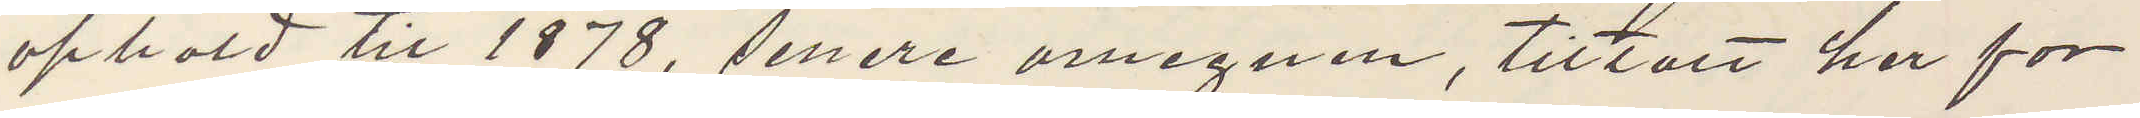uphold til 1878, senere omegnen, tilltalt her for
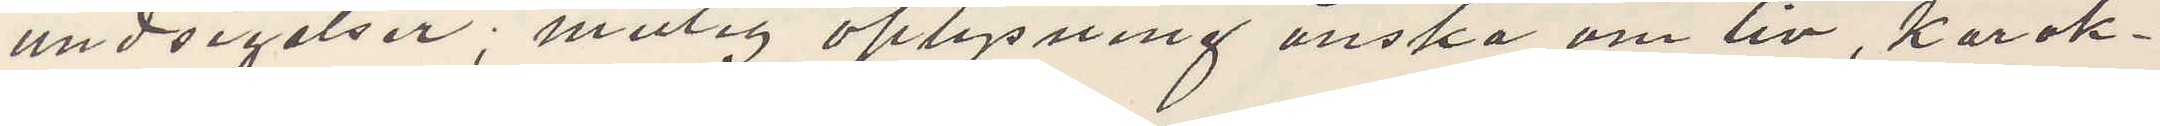undsigelser; mulig aflysning önska om liv, karak¬
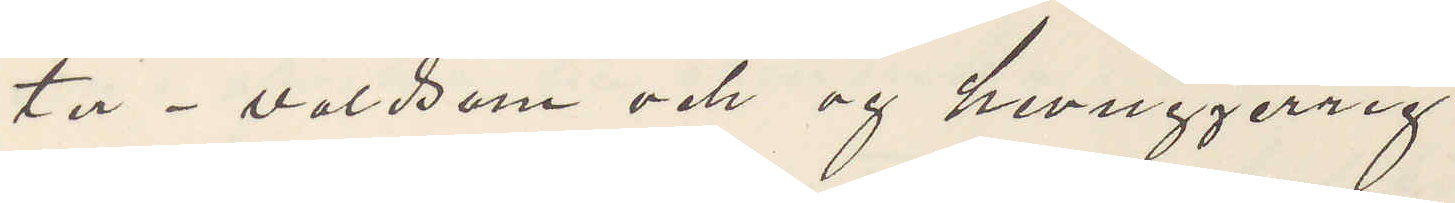ter - voldsom och og hevnggerrig?
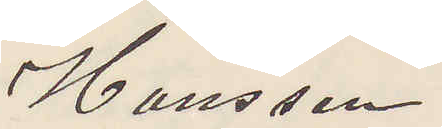Hansson
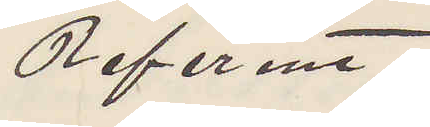Referent.
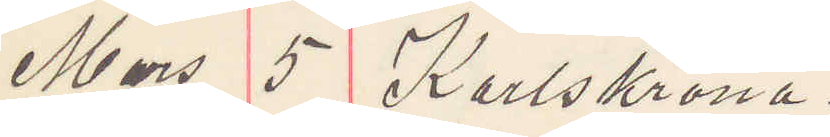Mars 5 Karlskrona.
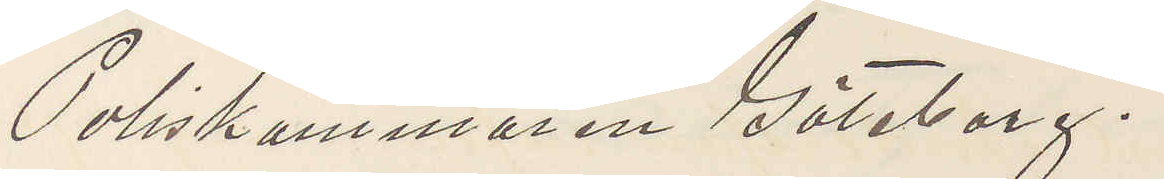Poliskammaren Göteborg.
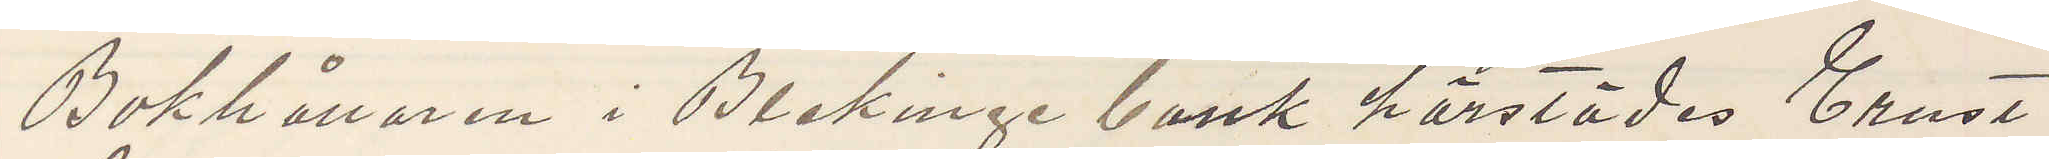Bokhållaren i Blekinge bank härstädes Ernst
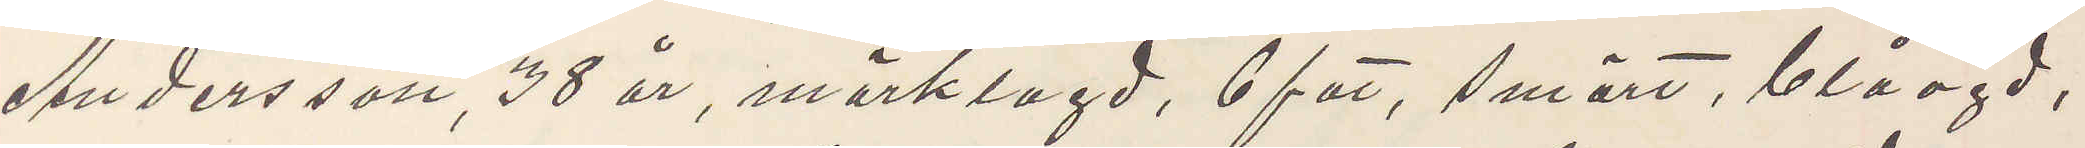Andersson 38 år, mörklagd, 6 fot, smärt, blåögd,
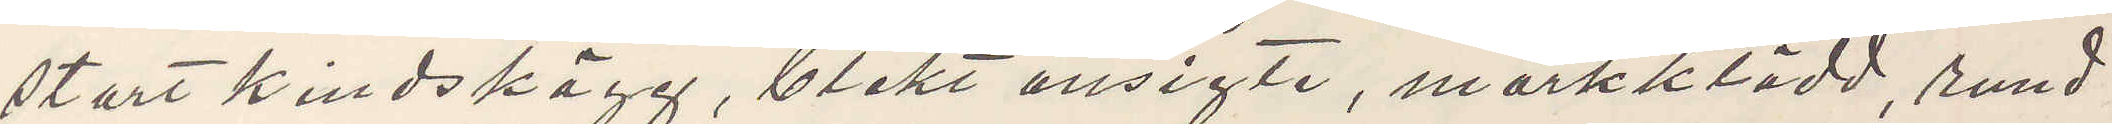stort kindskägg, blekt ansigte, mörkklädd, rund
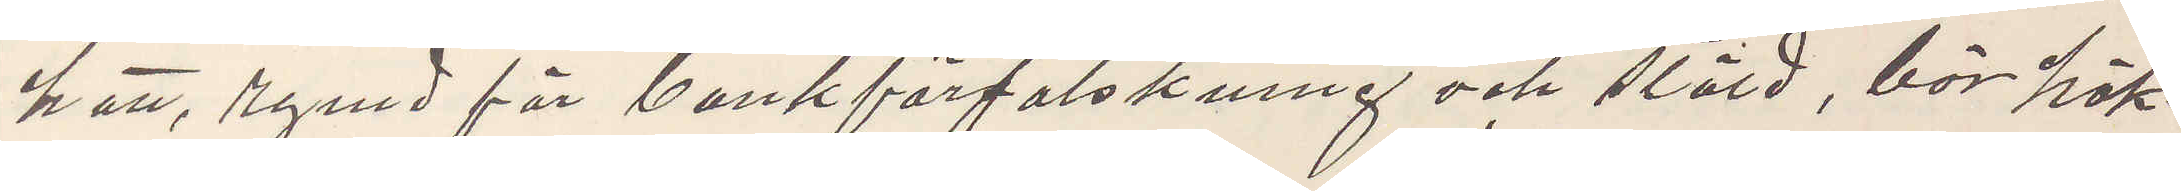hatt, rymd för bankförfalskning och stöld, bör häk¬
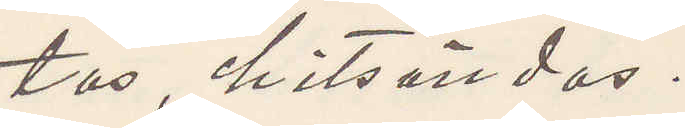tas, hitsändas.
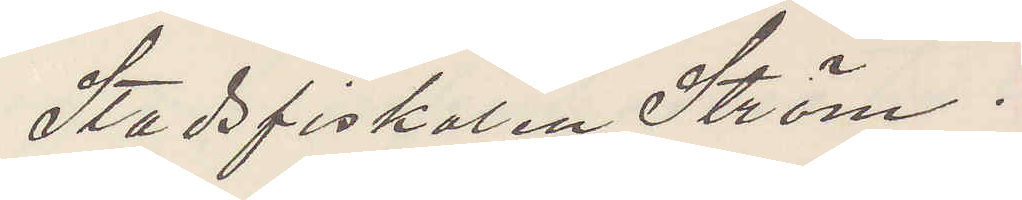Stadsfiskalen Ström.
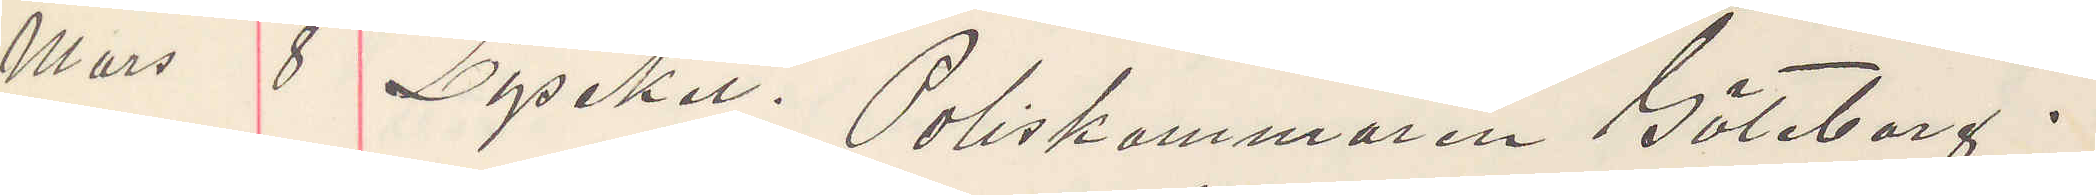Mars 8 Lysekil. Poliskammaren Göteborg.
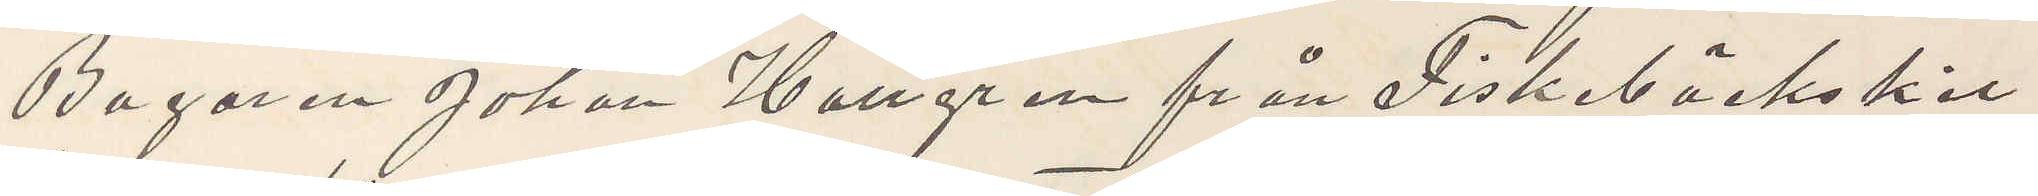Bagaren Johan Hallgren från Fiskebäckskil
